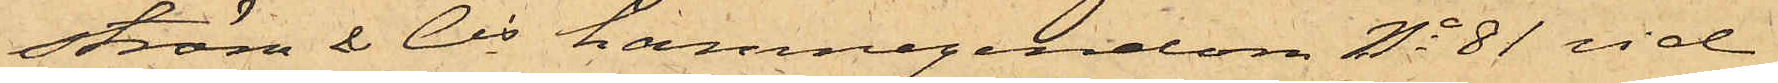ström & Cis hamnegendom No 81 vid
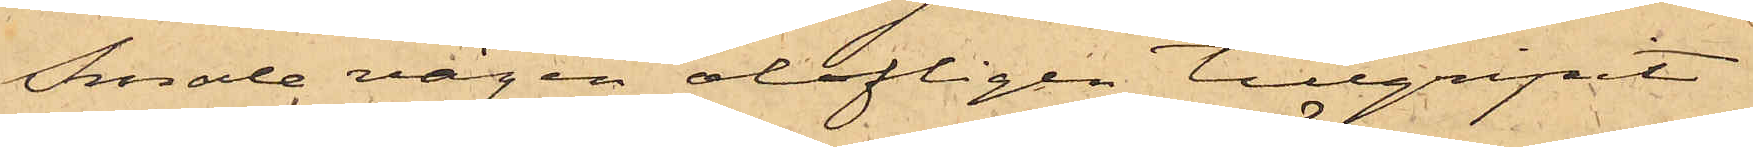Smala vägen olofligen tillgripit
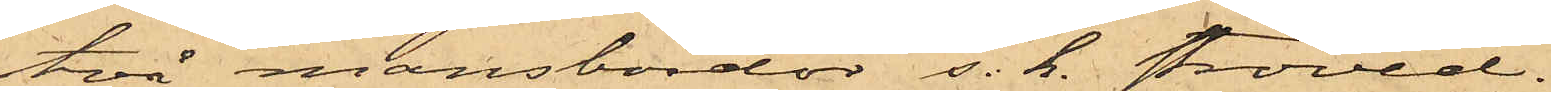två mansbördor s. k. ströved.
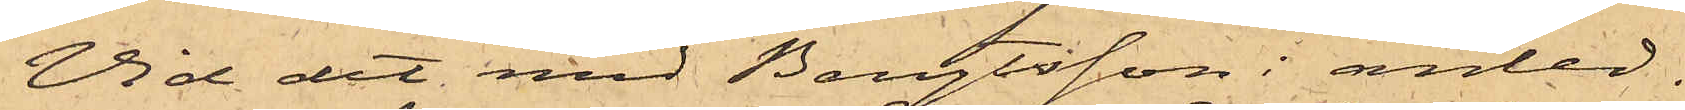Vid det med Bengtsson i anled¬
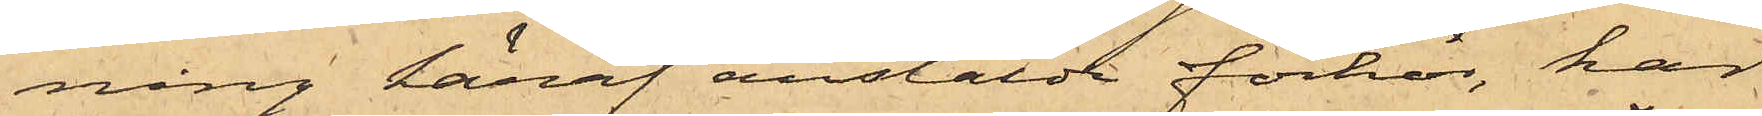ning häraf anstälda förhör, har
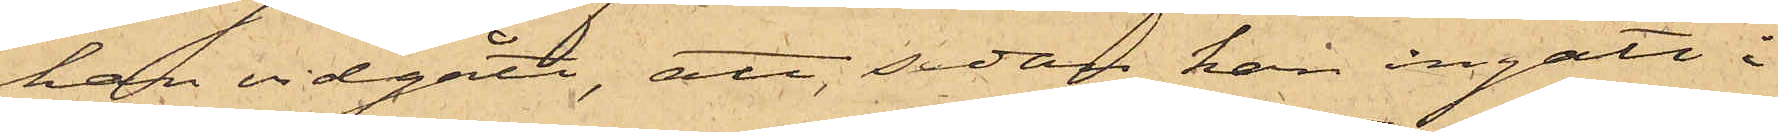han vidgått, att, sedan han ingått i
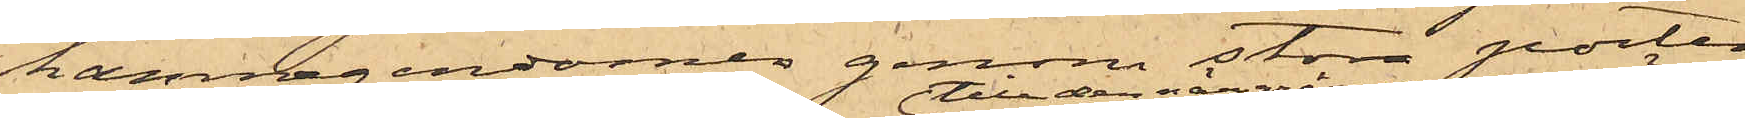hamnegendomer genom stora porten,
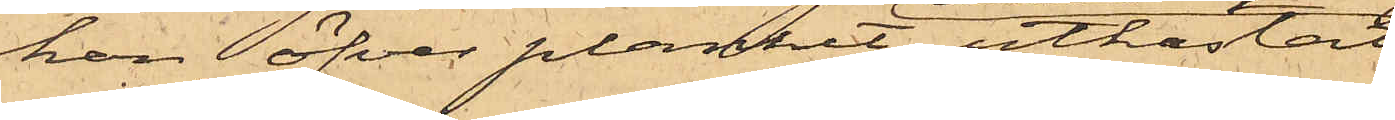han öfver planket utkastat
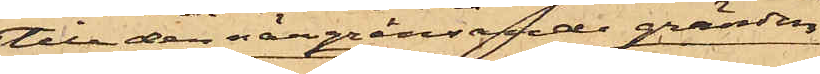till den närgränsande gränden
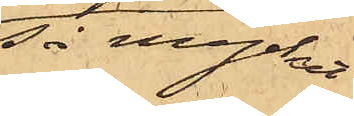så mycket
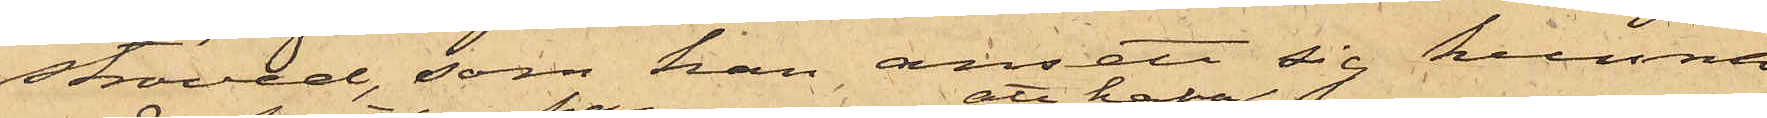ströved, som han ansett sig kunna
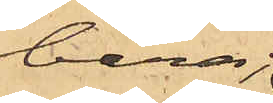bära;
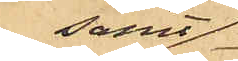samt
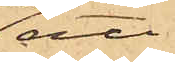att
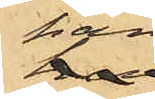han
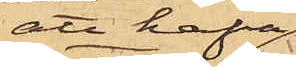att hafva
